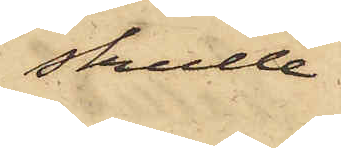skulle
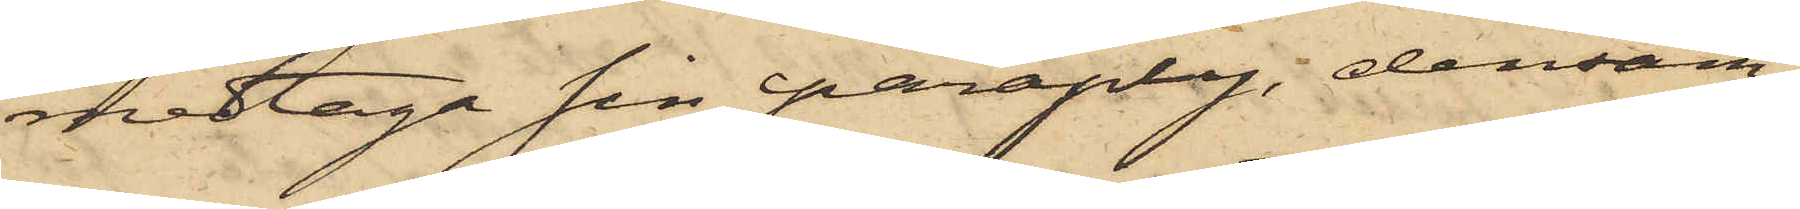medtaga sin paraply, densam¬
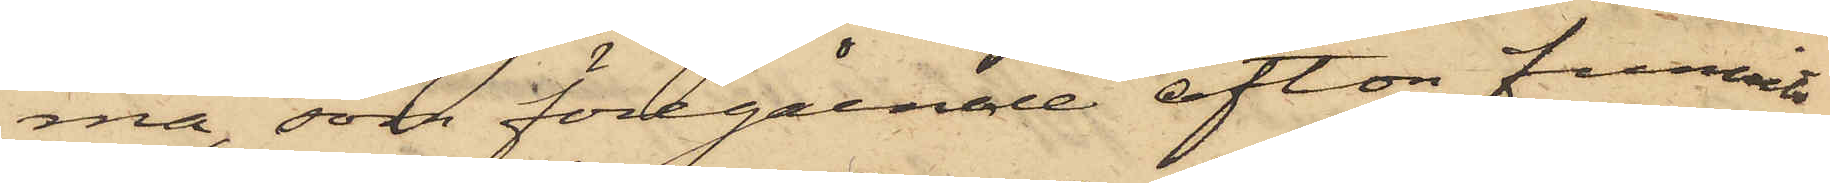ma, som föregående afton funnits
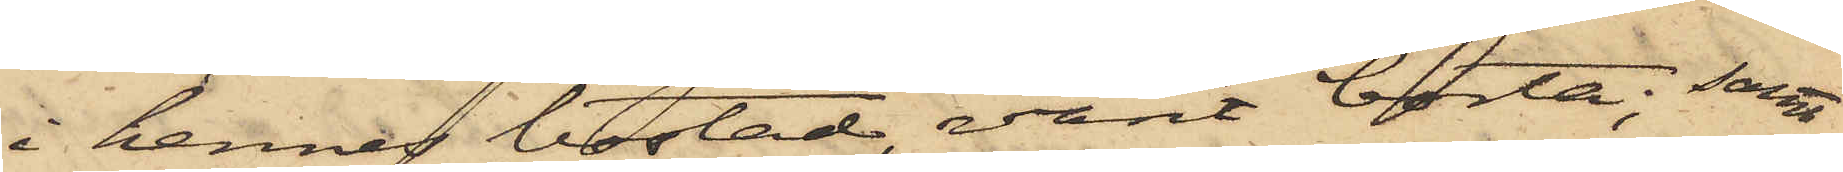i hennes bostad, varit borta; samt
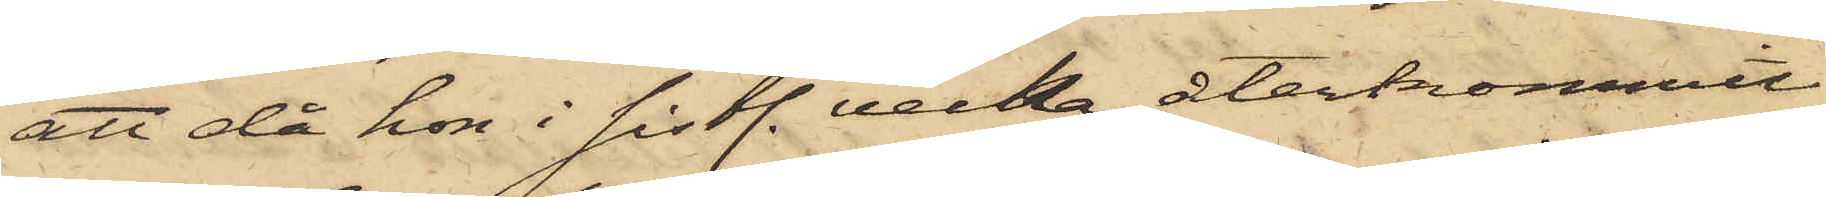att då hon i sistl. vecka återkommit
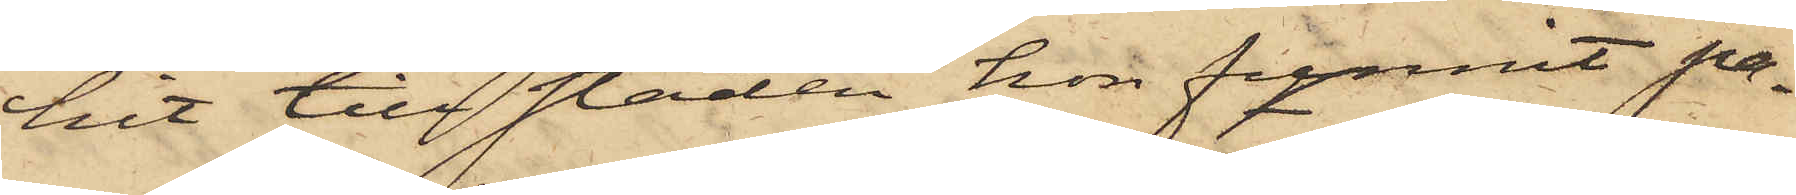hit till staden hon funnit på¬
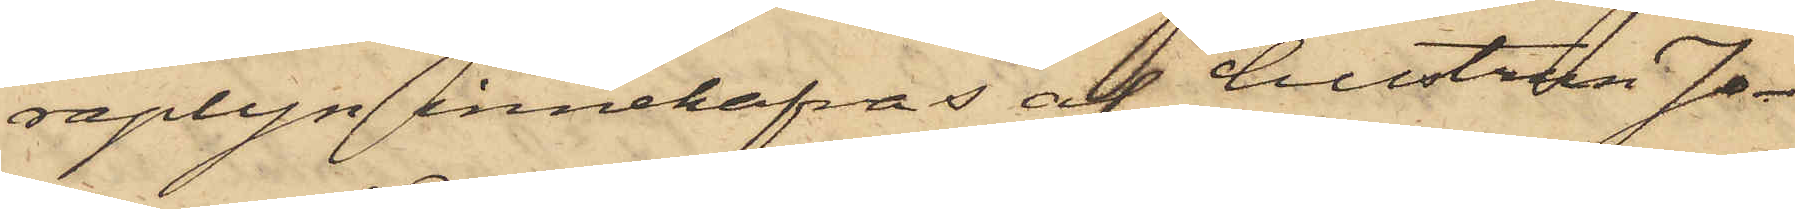raplyn innehafvas af hustrun Jo¬
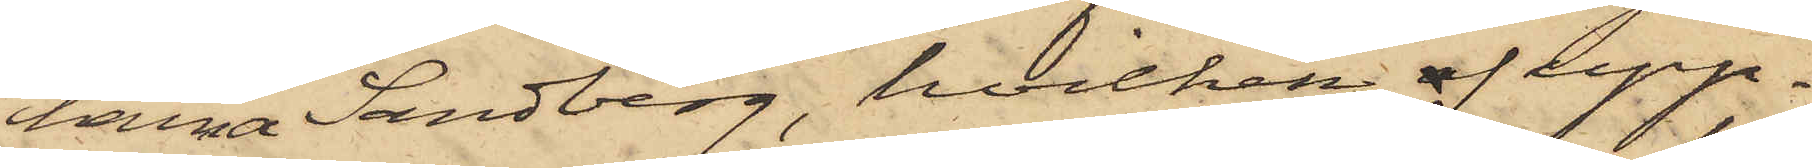hanna Sandberg, hvilken af upp¬
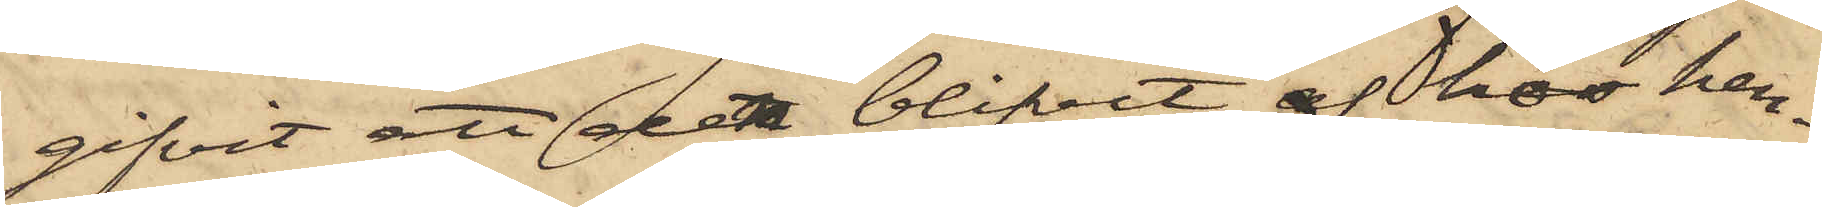gifvit att den blifvit af hos hen¬
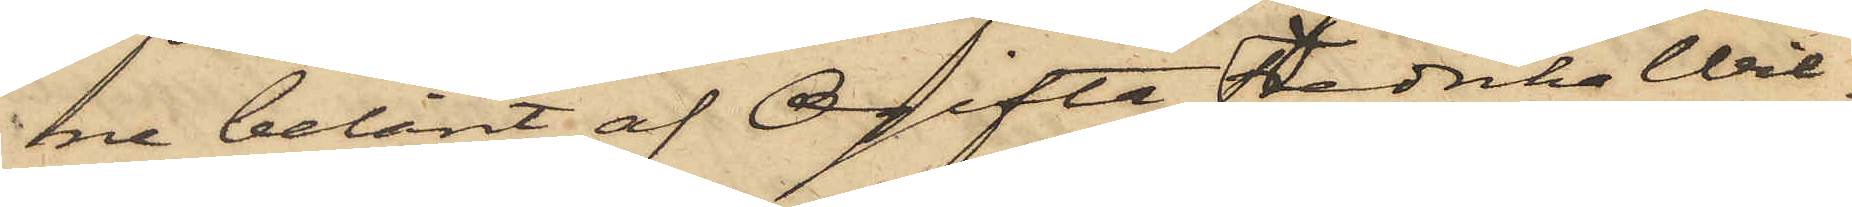ne belånt af Ogifta Fredrika Wil¬
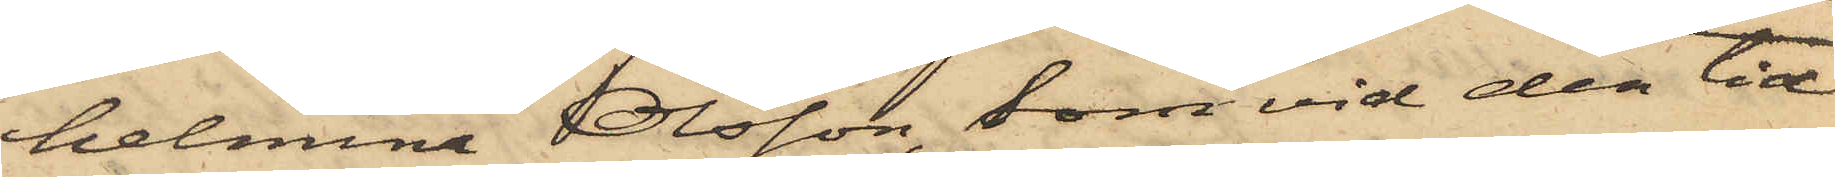helmina Olsson, som vid den tid
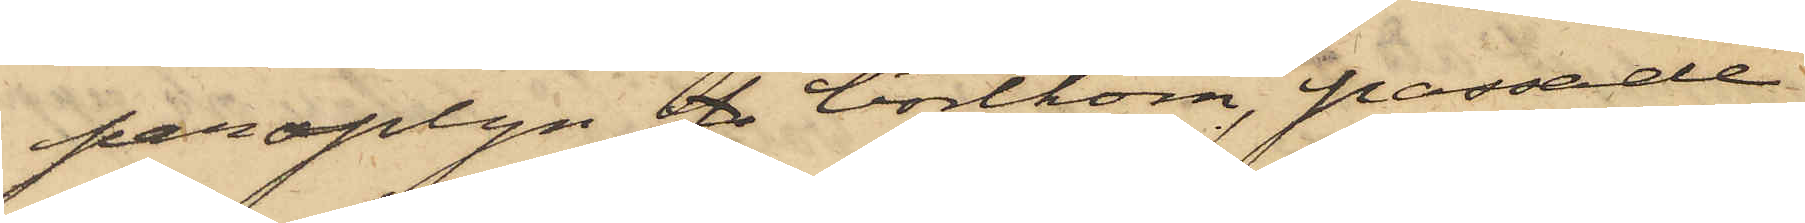paraplyn f bortkom, passade
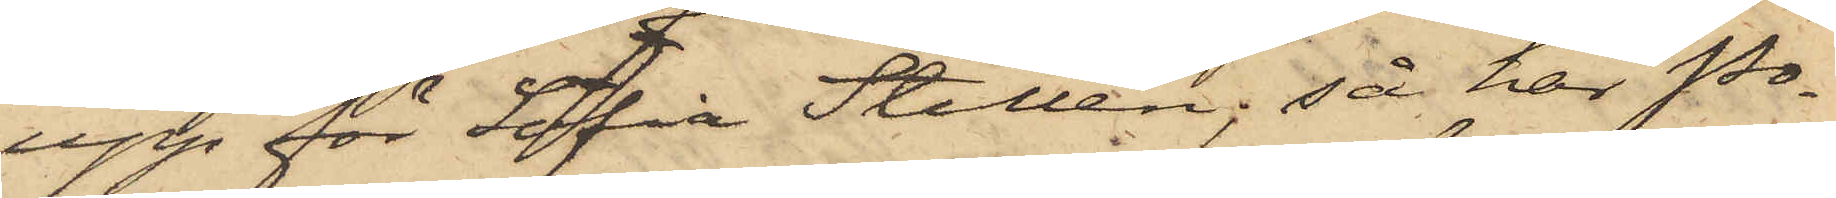upp för Sofia Stillén; så har Po¬
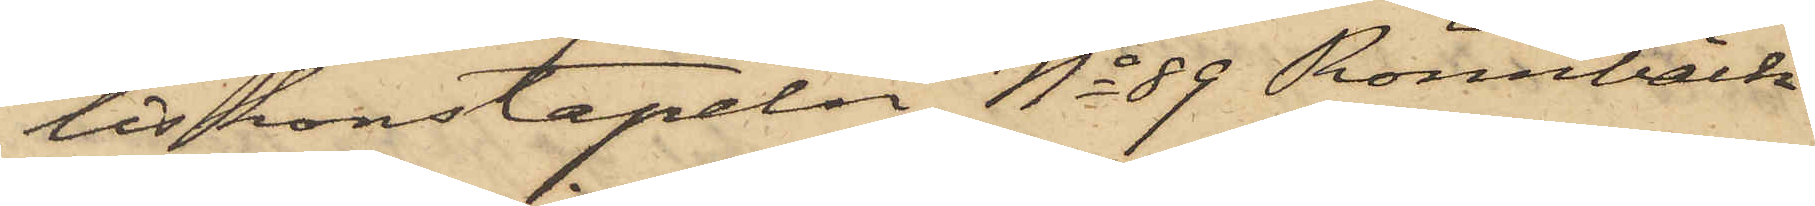liskonstapeln No 89 Rönnbäck
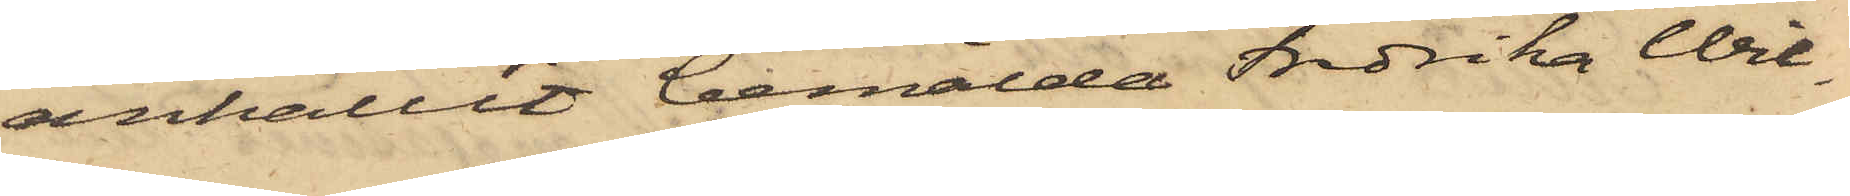anhållit bemälda Fredrika Wil¬
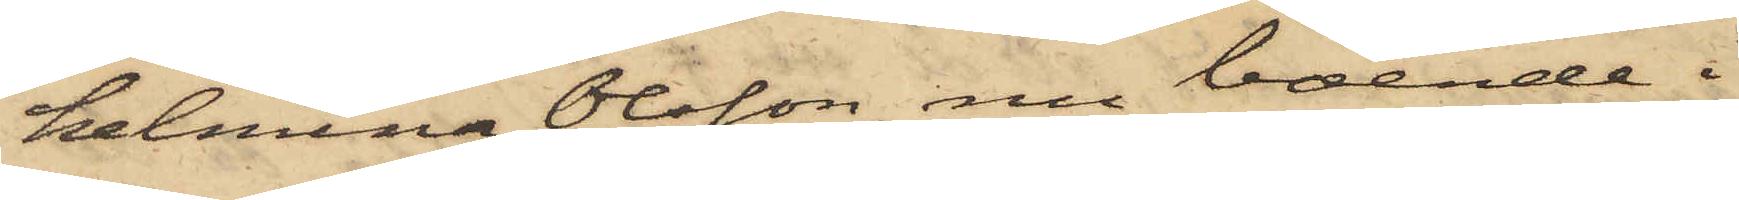helmina Olsson, nu boende i
